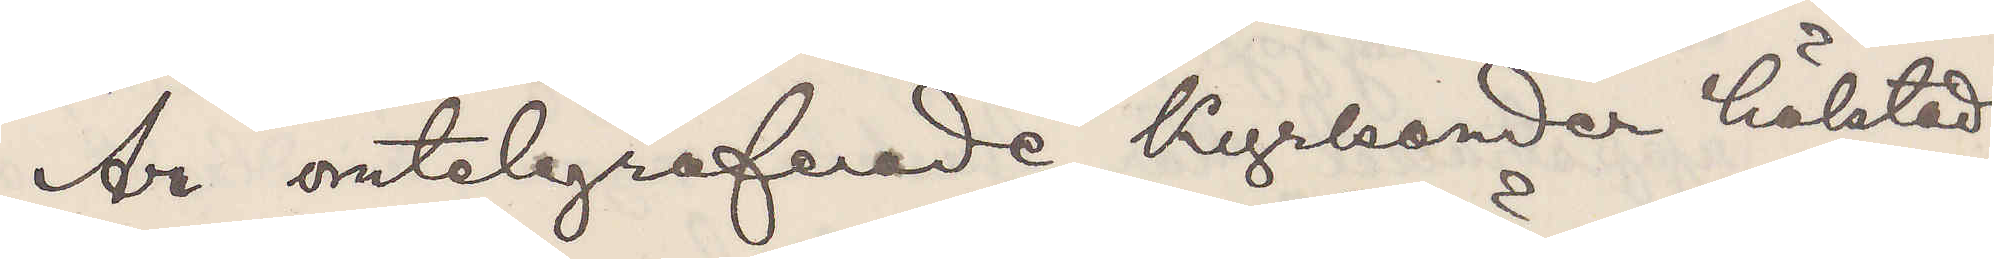Är omtelegraferade Kyrkander häktad
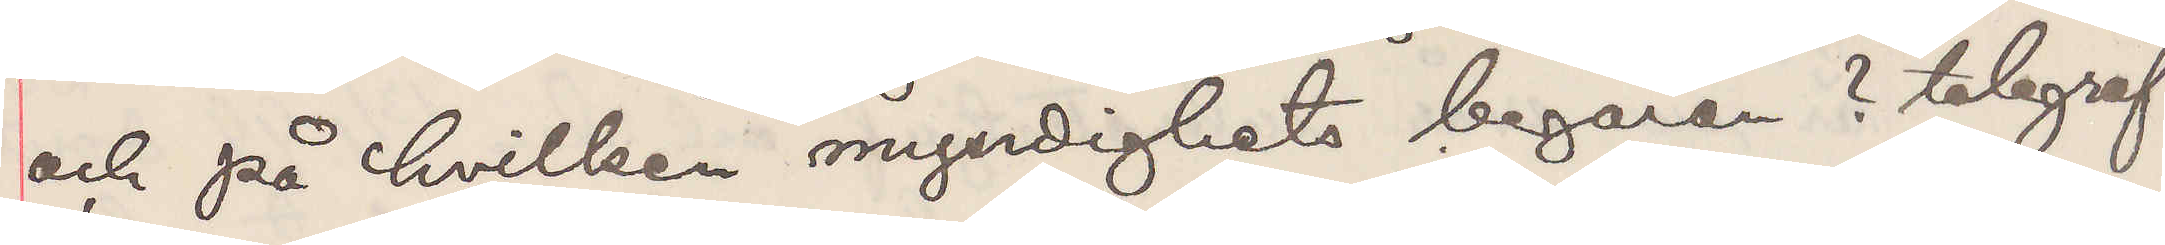och på hvilken myndighets begäran? telegraf¬
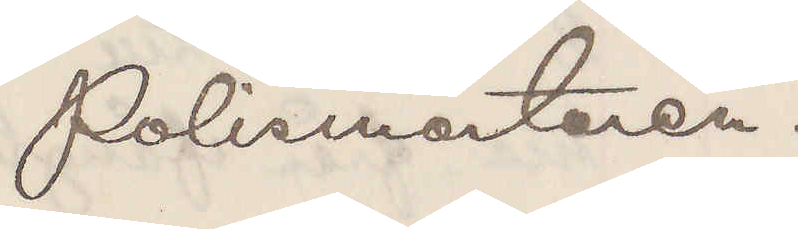Polismästaren.
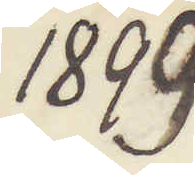1899
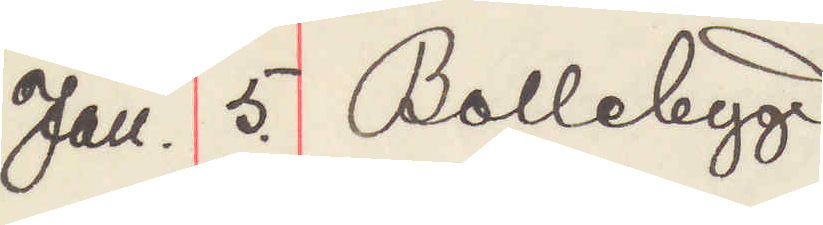Jan. 5. Bollebygd
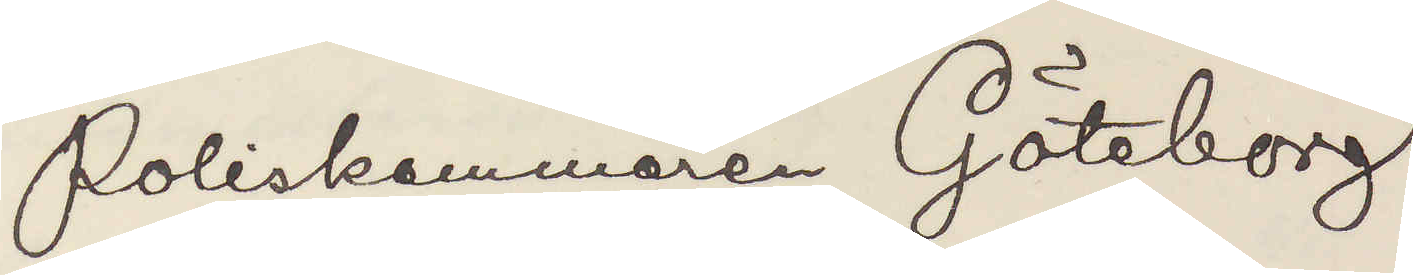Poliskammaren Göteborg.
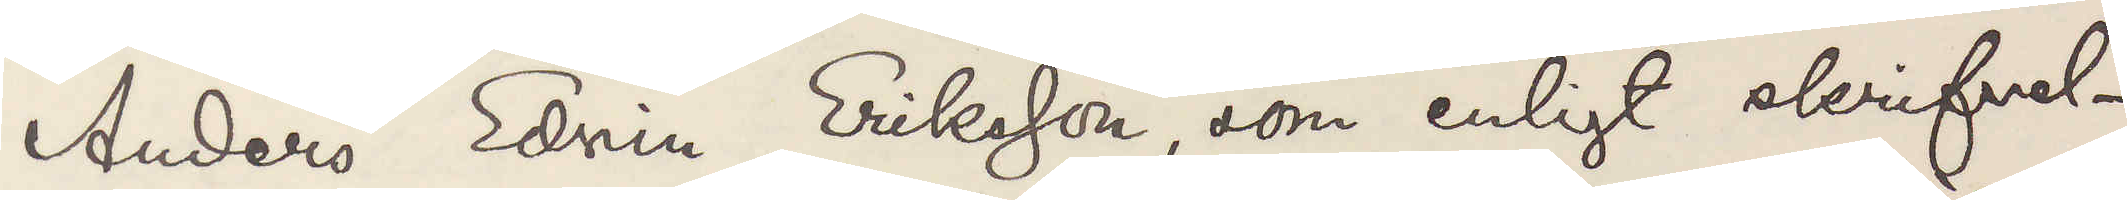Anders Edvin Eriksson som enligt skrifvel¬
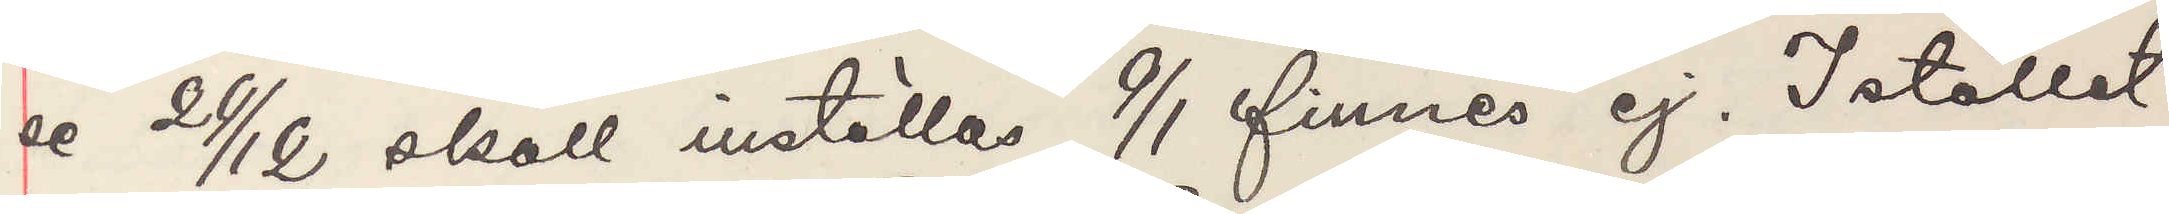se 29/12  skall inställas 9/1 finnes ej. Istället
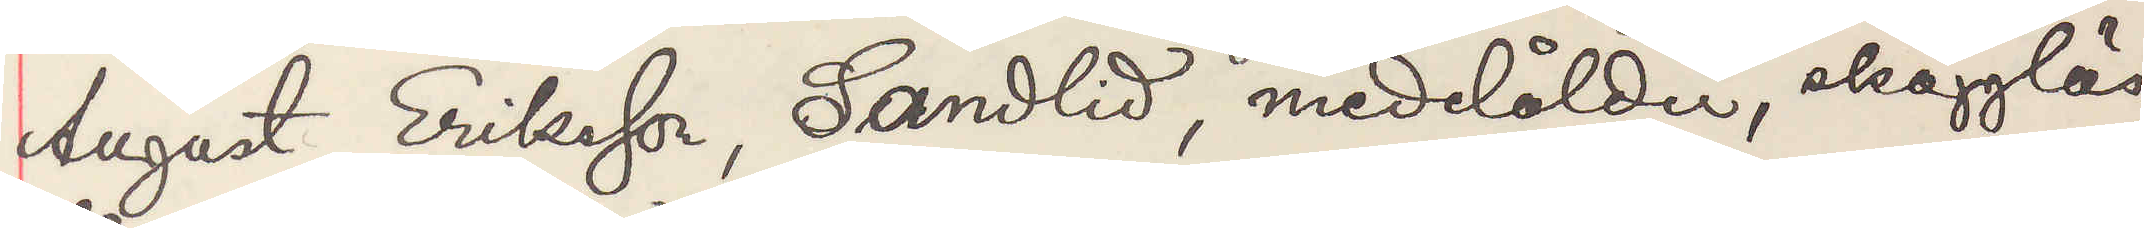August Eriksson, Sandlid, medelålder, skägglös,
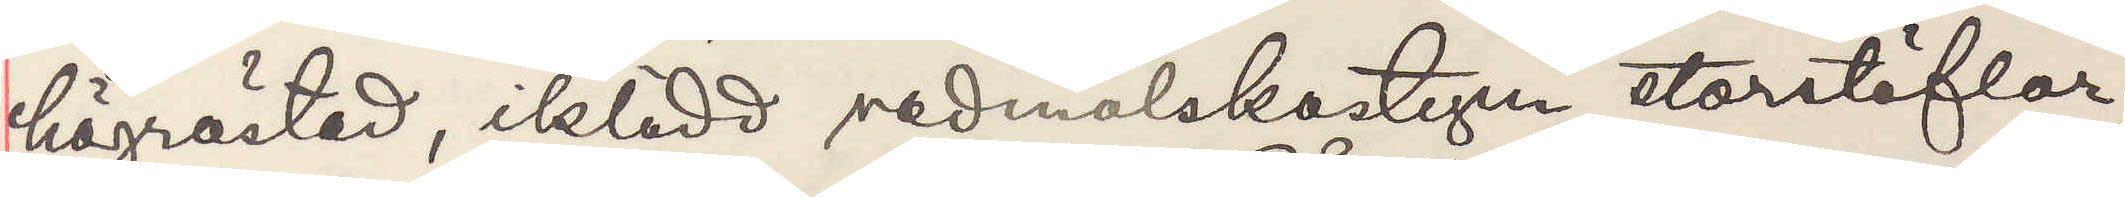högröstad, iklädd vadmalskostym, storstöflar,
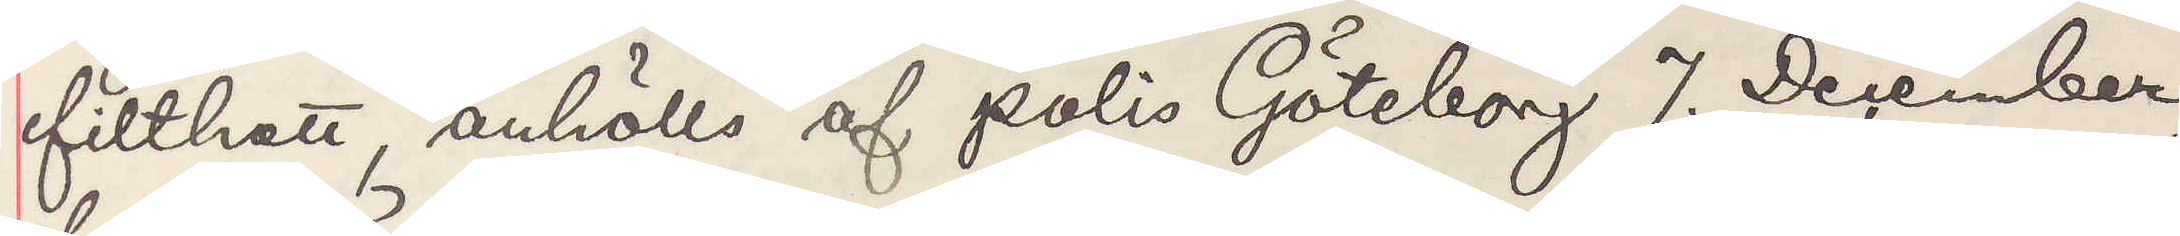filthatt, anhölls af polis Göteborg 7. December
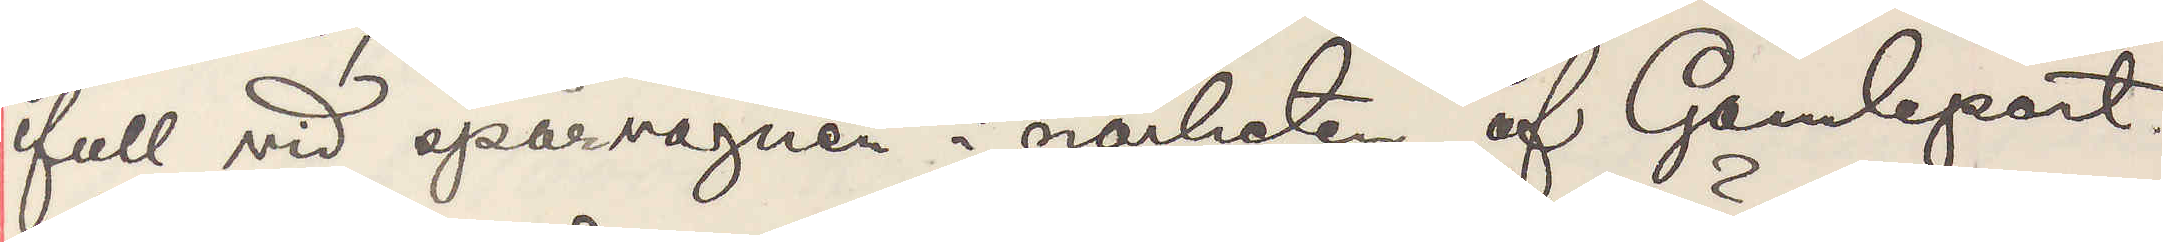full vid spårvagnen i närheten af Gamleport.
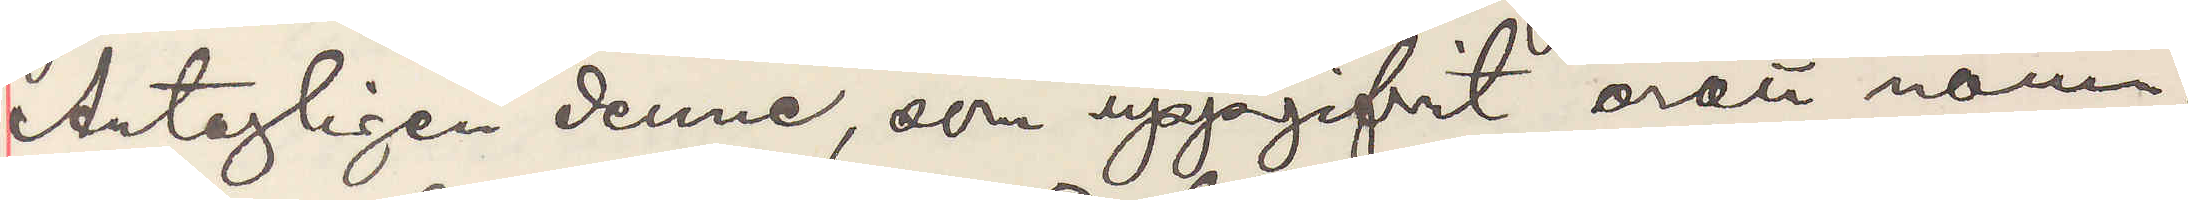Antageligen denne, som uppgifvit orätt namn.
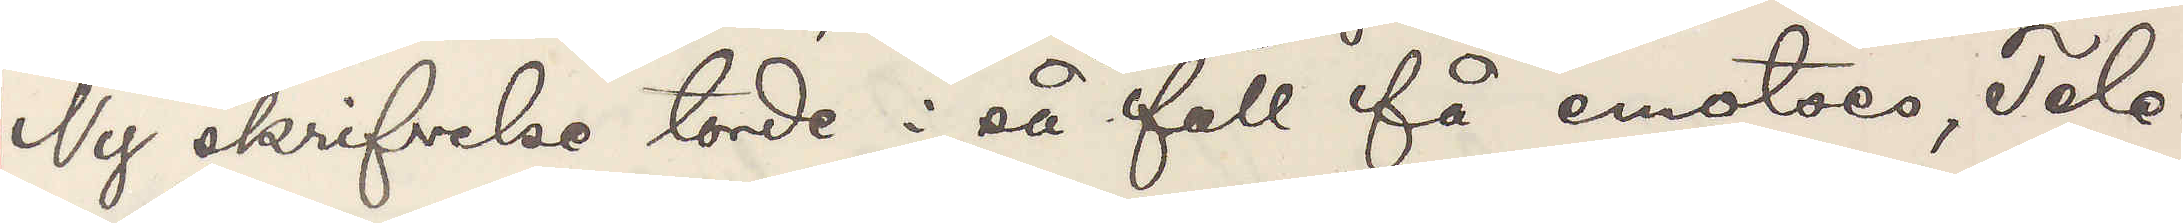Ny skrifvelse torde i så fall få emotses, Tele¬
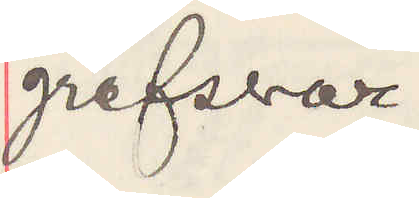grafsvar.
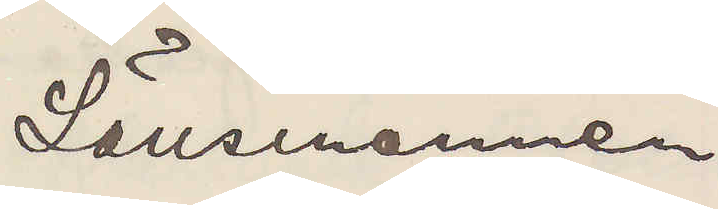Länsmannen
